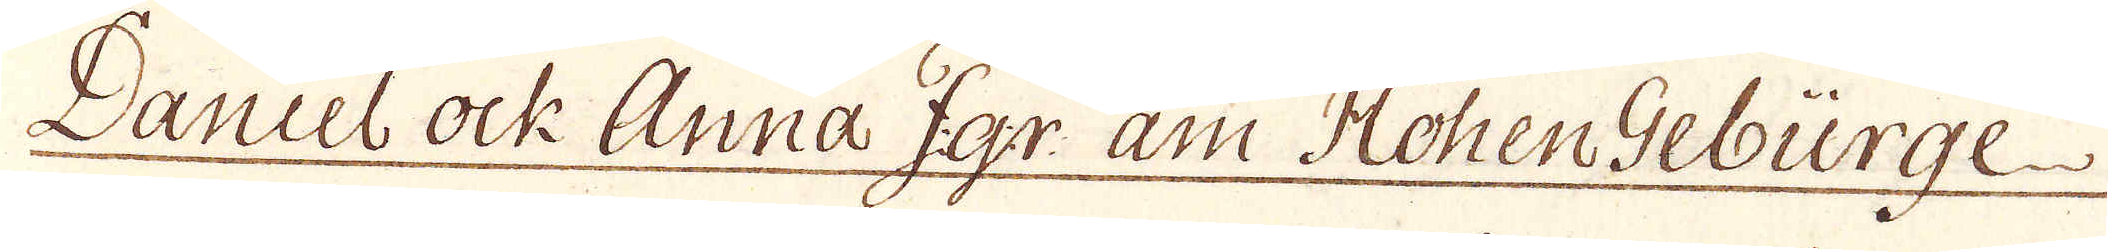Daniel ock Anna F:g:r am HohenGebürge
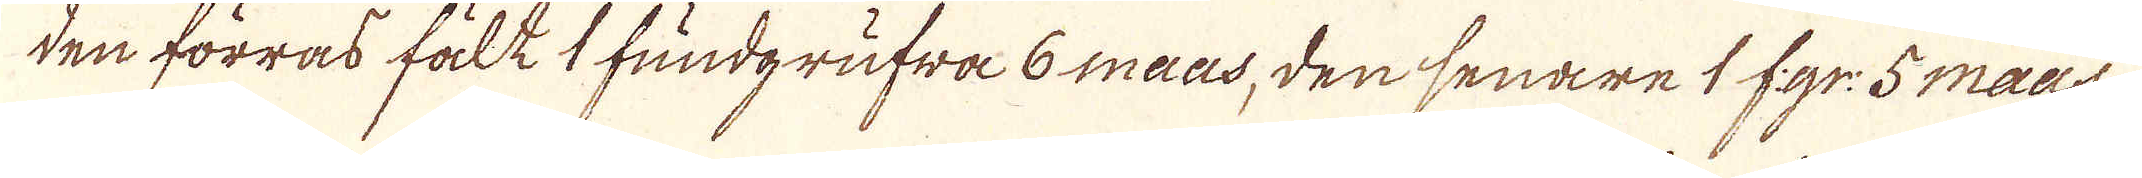den förras fält 1 fundgrufwa 6 maas, den senare 1 f:gr: 5 maas.
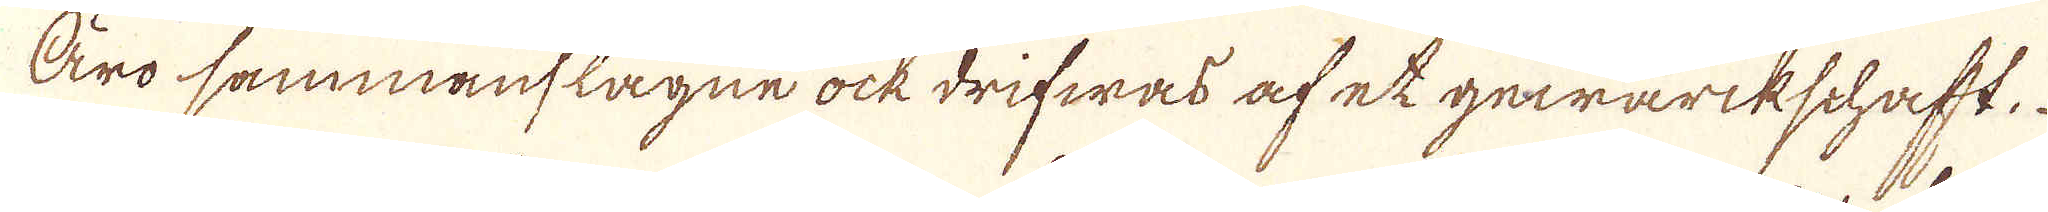Äro sammanslagne ock drifwas af et gewärkschaft.
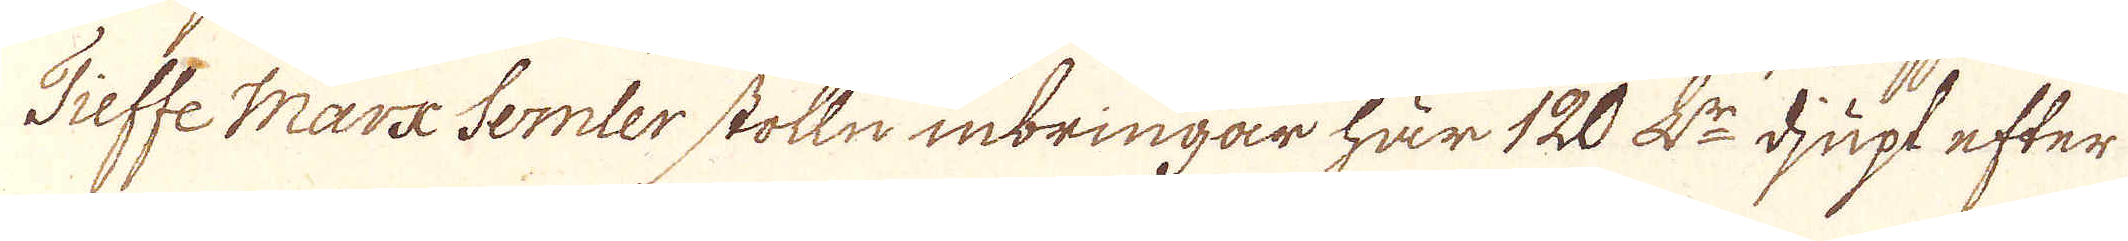Tieffe Märx Semler stolln inbringar här 120 L:r djupt efter
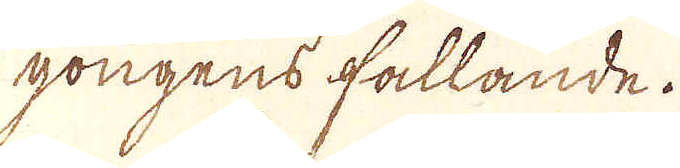gongens fallande.
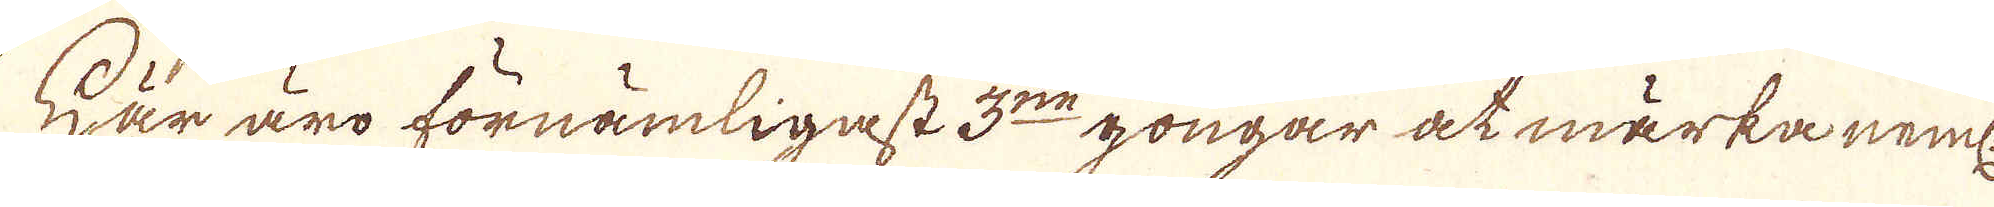Här äro förnämligast 3:ne gongar at märka neml:
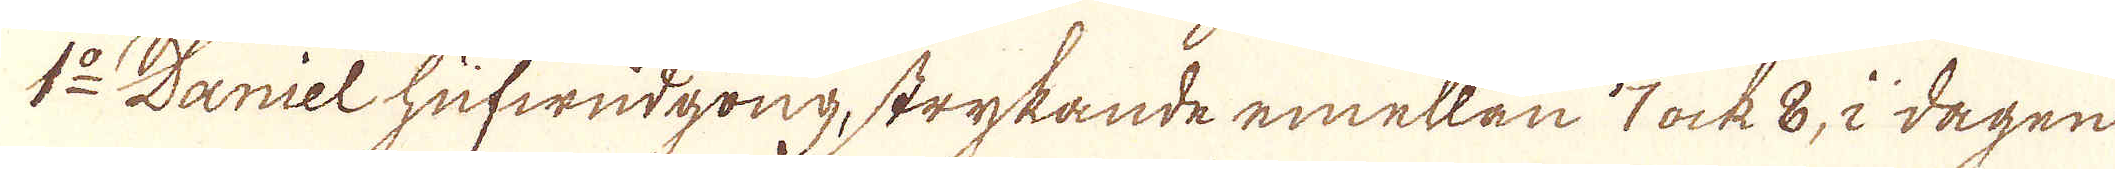1:o Daniel hufwudgong, strykande emellan 7 ock 8, i dagen
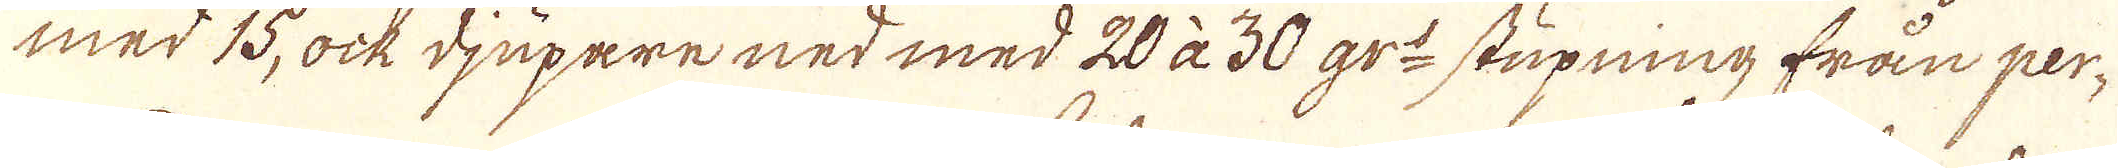med 15, ock djupare ned med 20 à 30 gr: stupning från per-
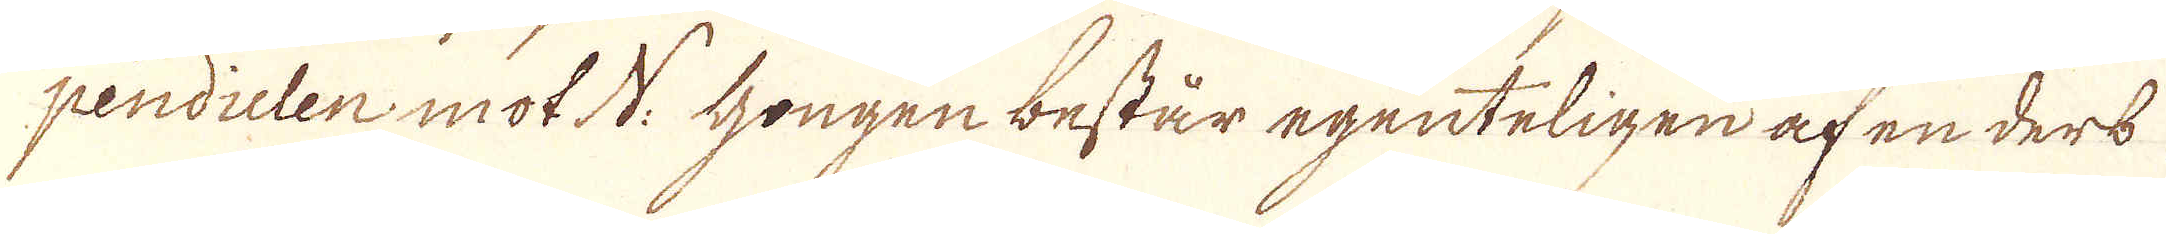pendicten mot N: Gongen består egenteligen af en ders
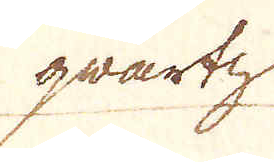qvartz
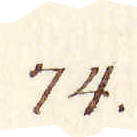74.
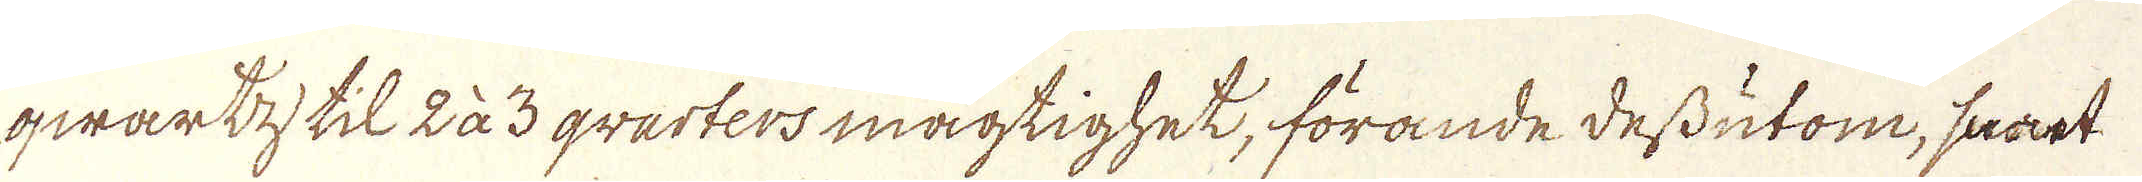qwartz til 2 à 3 qvarters mägtighet, förande dessutom, samt
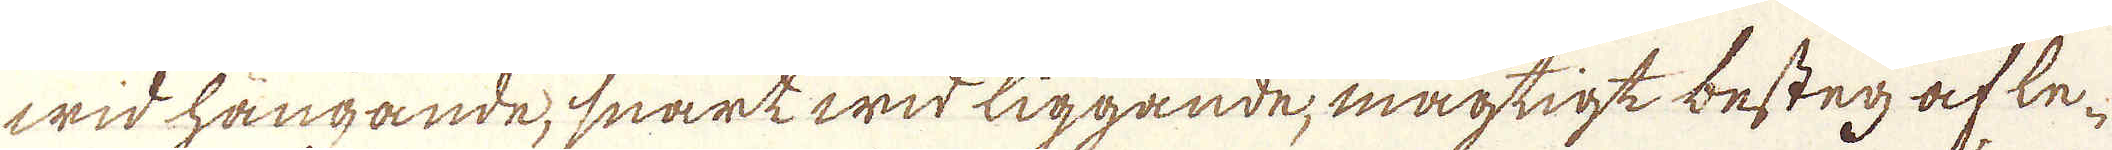wid hängande, snart wid liggande, mägtigt besten af le-
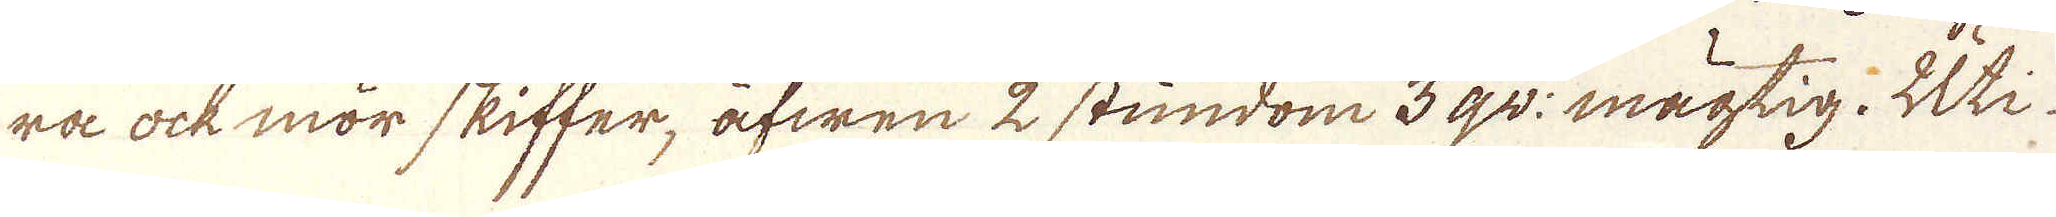ra ock mör skiffer, äfwen 2 stundom 3 qv: mägtig. Uti
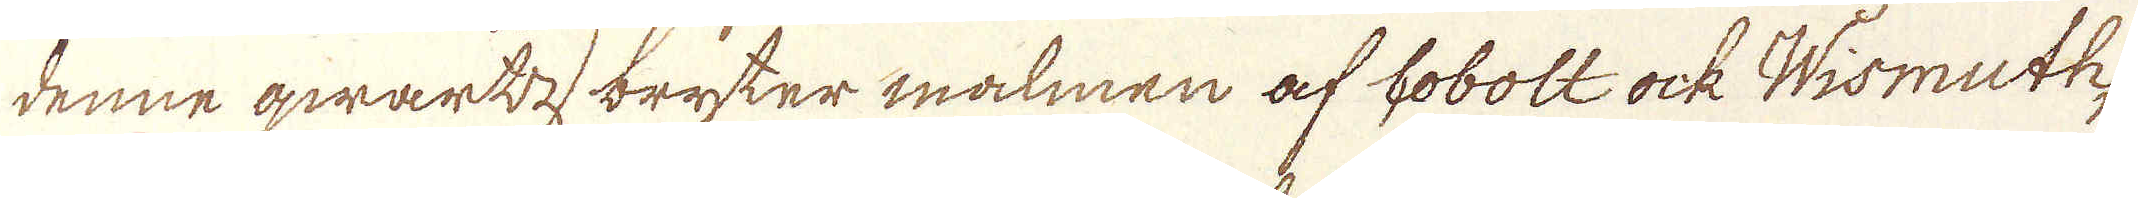denne qwartz bryter malmen af Cobolt ock Wismuth,
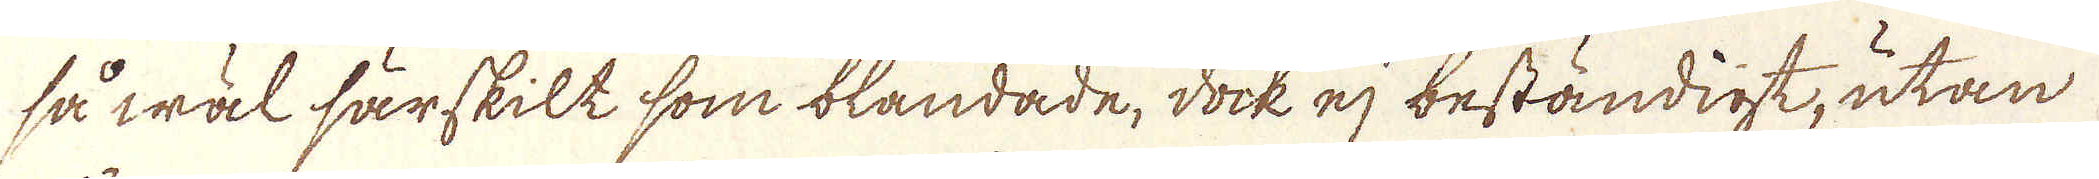så wäl särskilt som blandade, dock ej beständigt, utan
